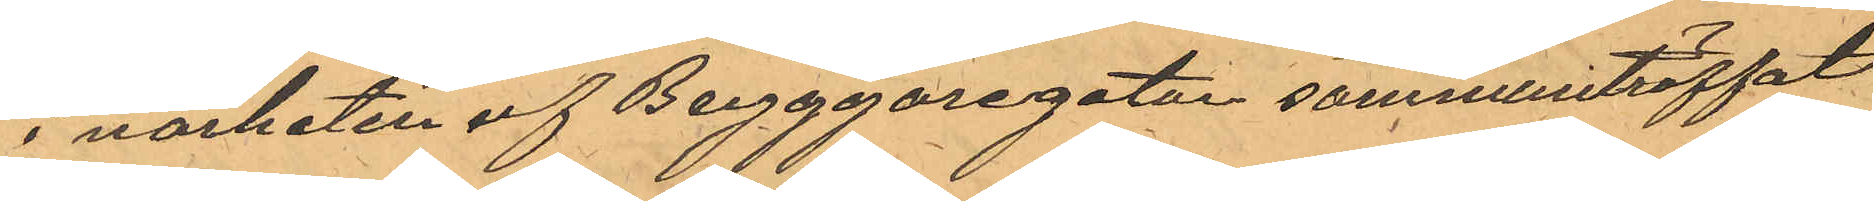i närheten af Bryggaregatan sammanträffat
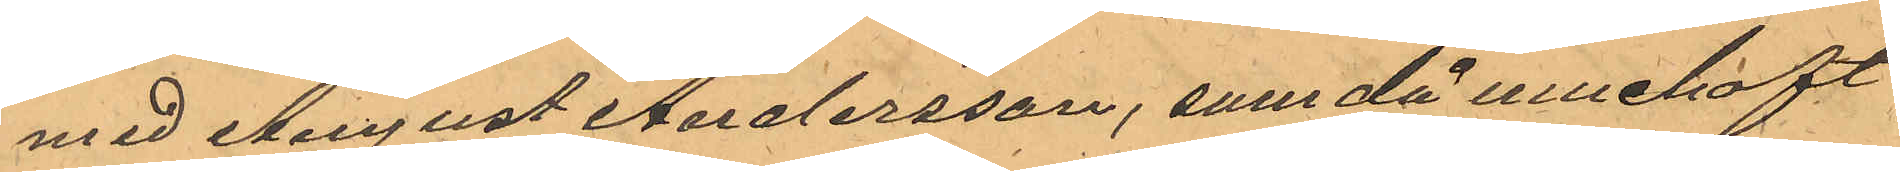med August Andersson, som då innehaft
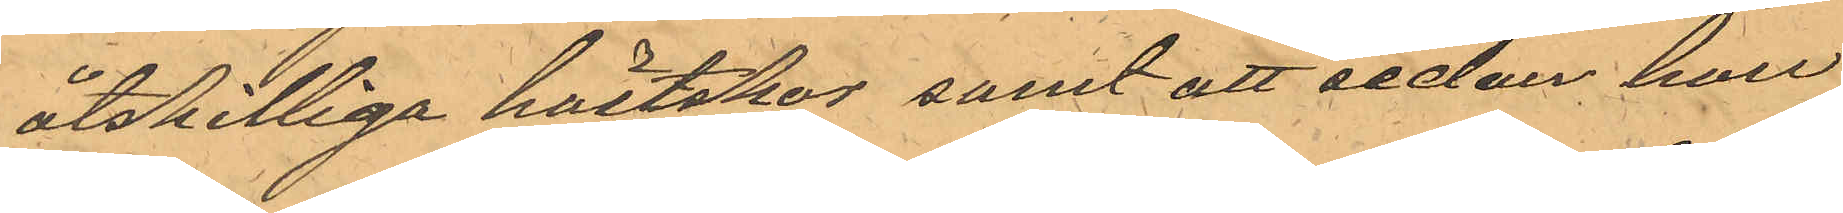åtskilliga hästskor samt att sedan han
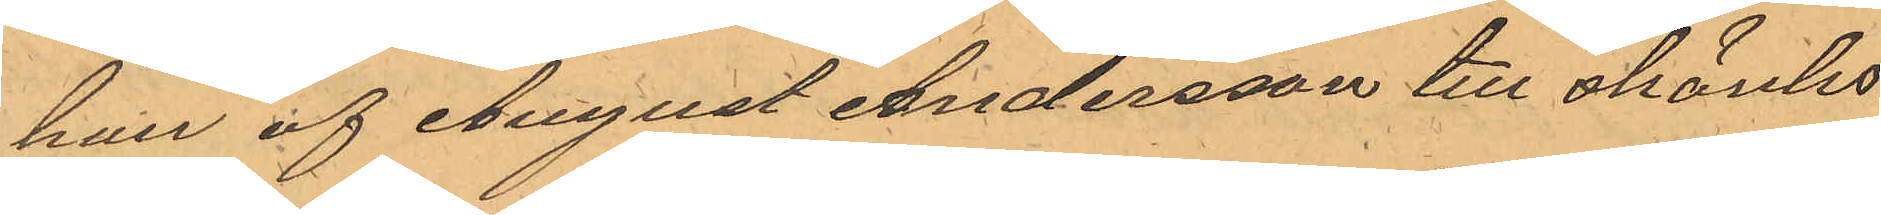han af August Andersson till skänks
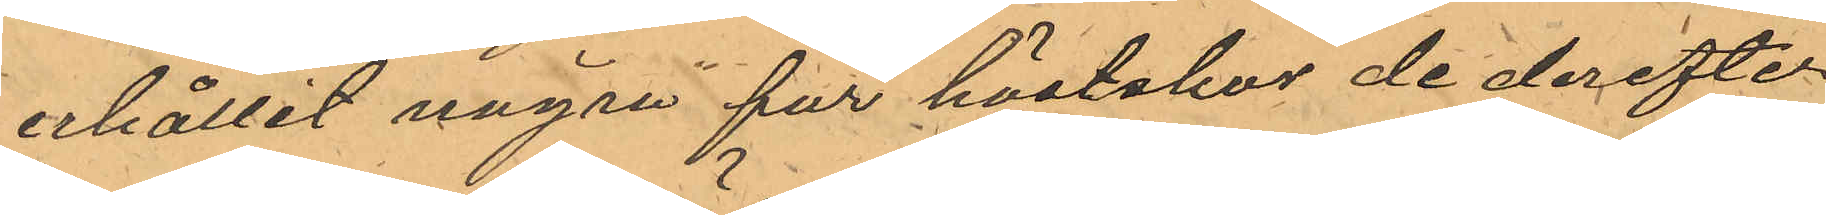erhållit några par hästskor de derefter
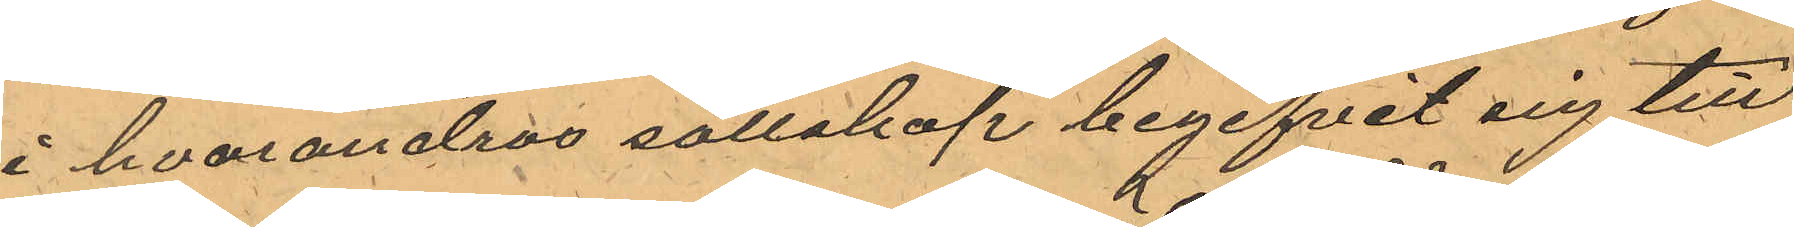i hvarandras sällskap begifvit sig till
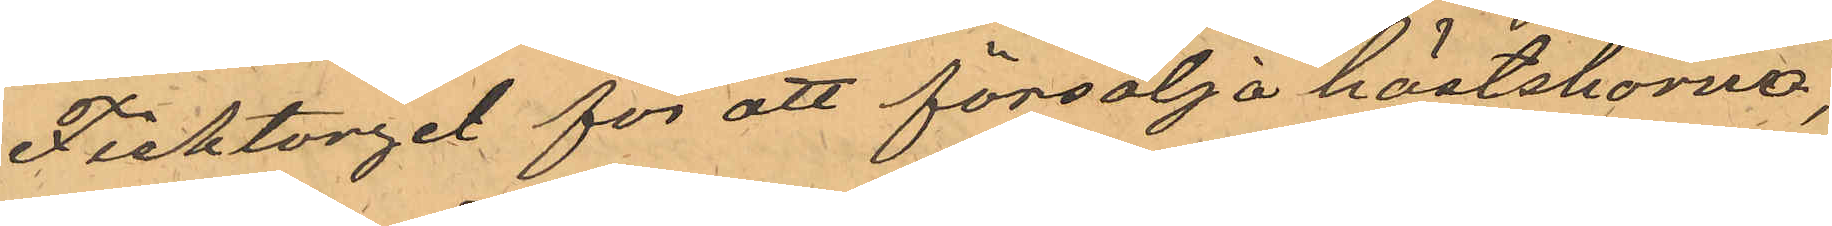Fisktorget för att försälja hästskorna,
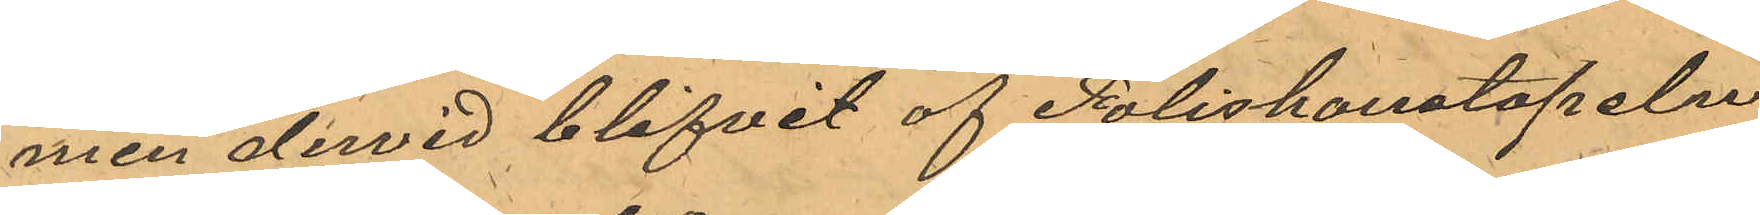men dervid blifvit af Poliskonstapeln
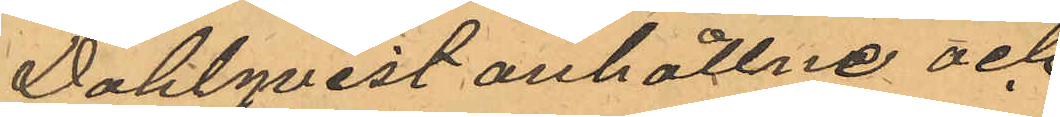Dahlqvist anhållne och
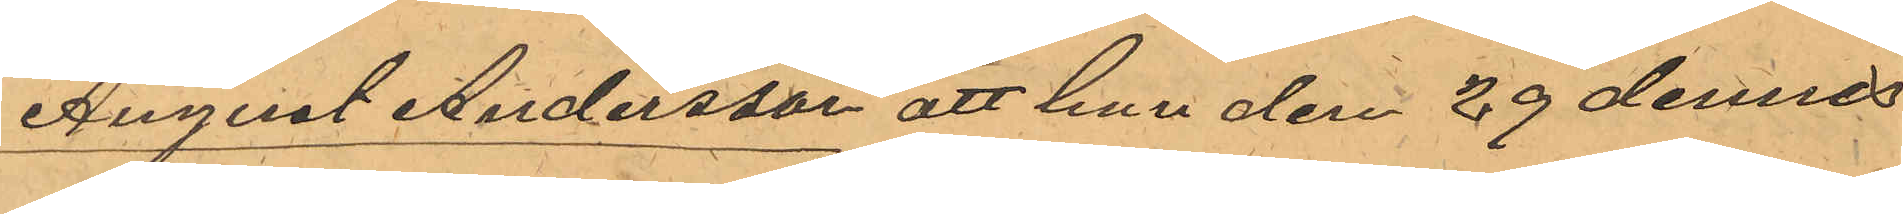August Andersson att han den 29 dennes
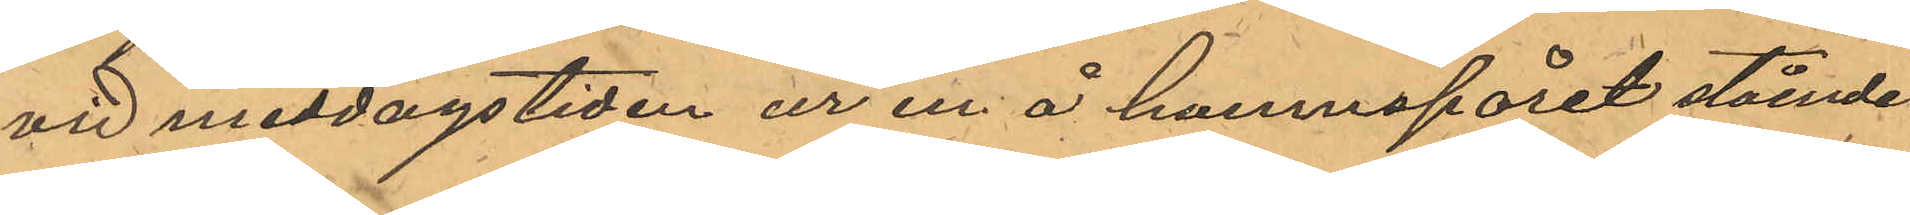vid middagstiden ur en å hamnspåret stående
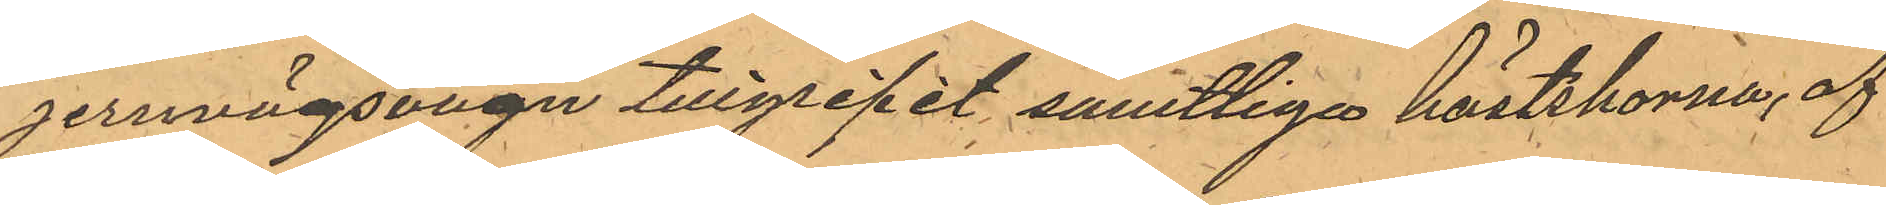jernvägsvagn tillgripit samtliga hästskorna, af
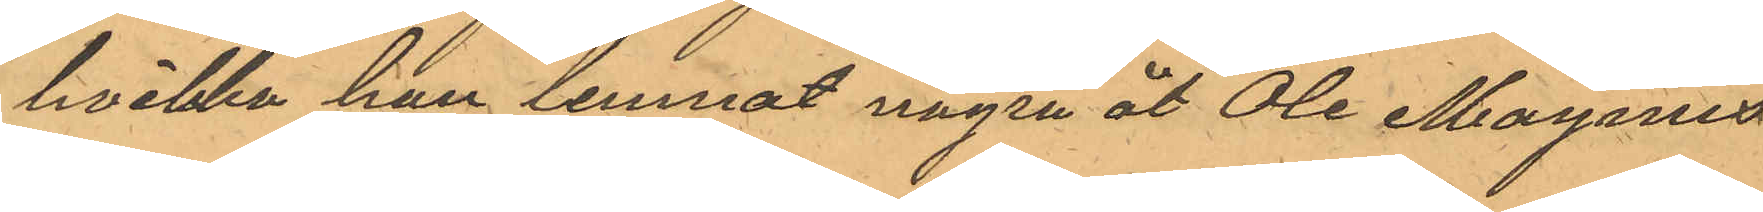hvilka han lemnat några åt Ole Magnus
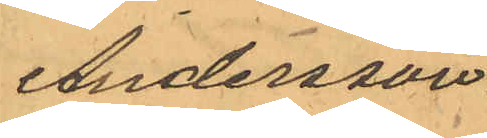Andersson.
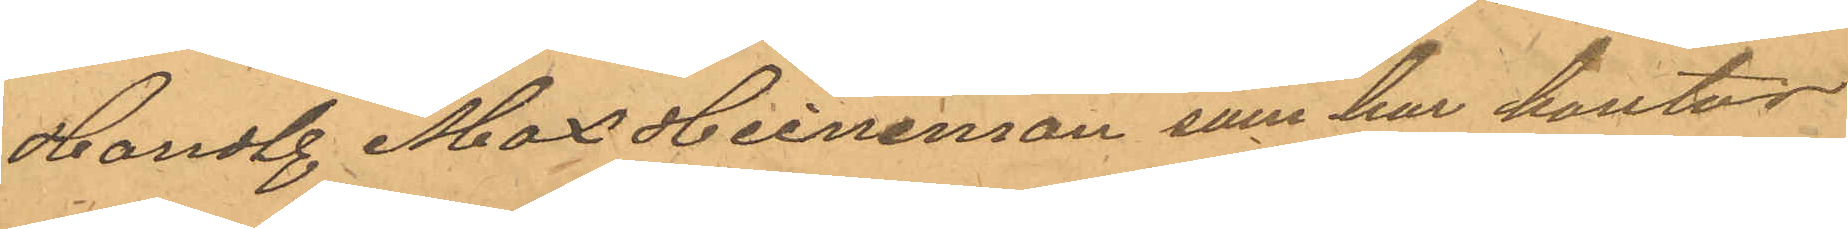Handl. Max Heineman som har kontor
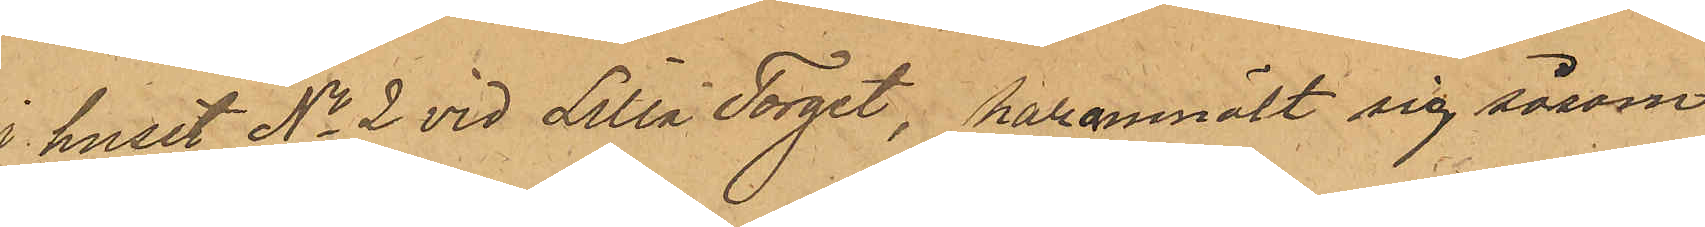i huset No 2 vid Lilla Torget, har anmält sig såsom
